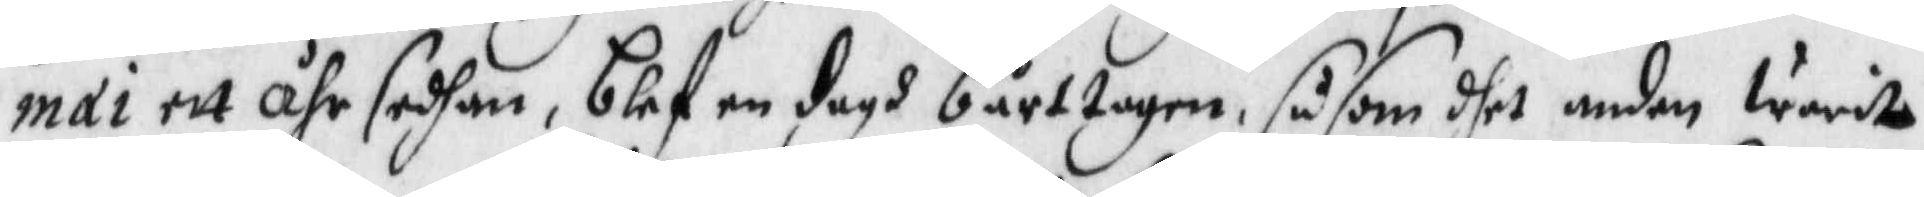mai ett ähr sedhan, blef en dagh bårttagen, såsom dhet anden warit
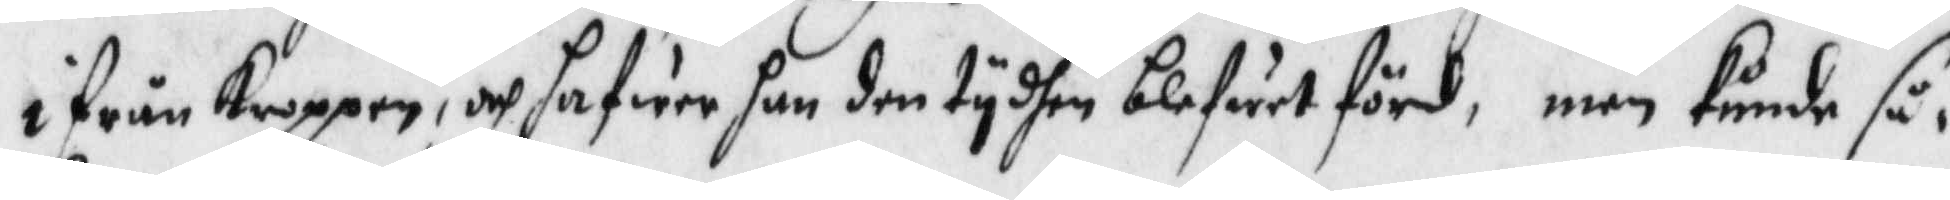i från Kroppen, och hafwer han den tydhen blefwit förd, men kunde så¬¬
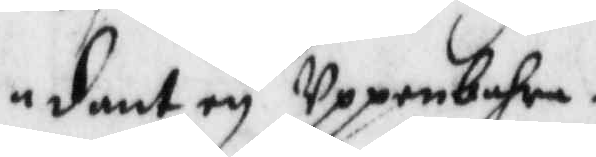dant ey Uppenbara.
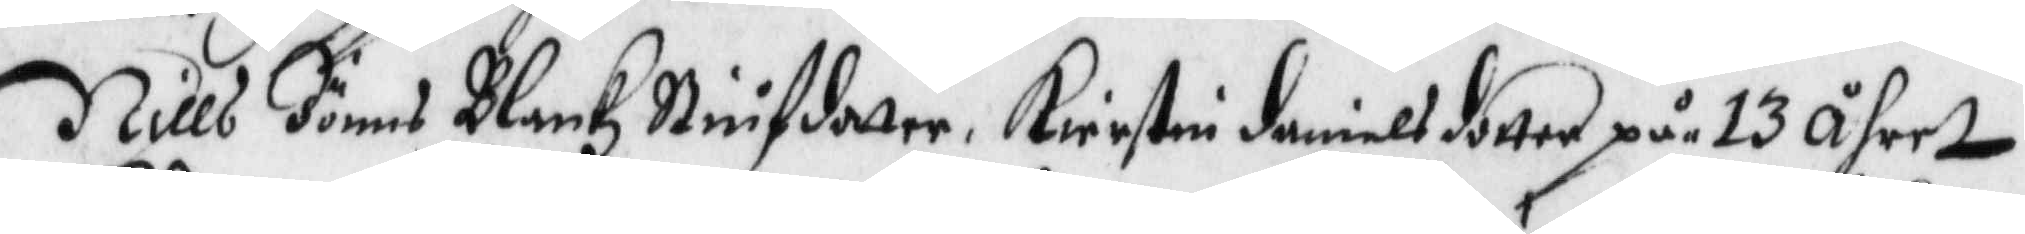Nills Jönns Blankz Stiufdotter, Kierstin danielsdotter på 13 åhret
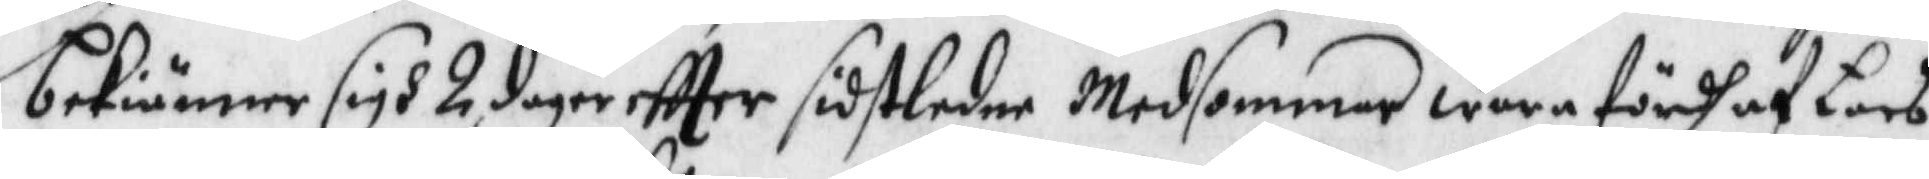bekiänner sigh 2 dagar eftter sidtledne Midsommar wara fördh af Lars
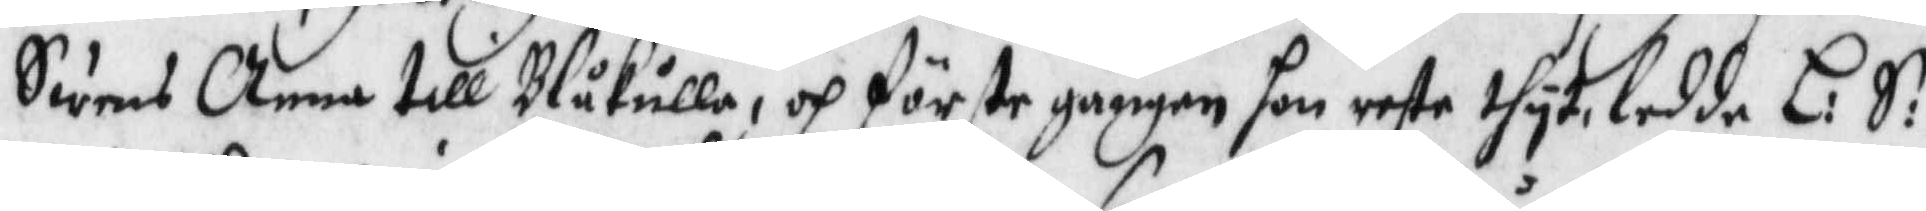Swens Anna till Blåkulla, och förste gången hon reste thyt, ledde L: S: 
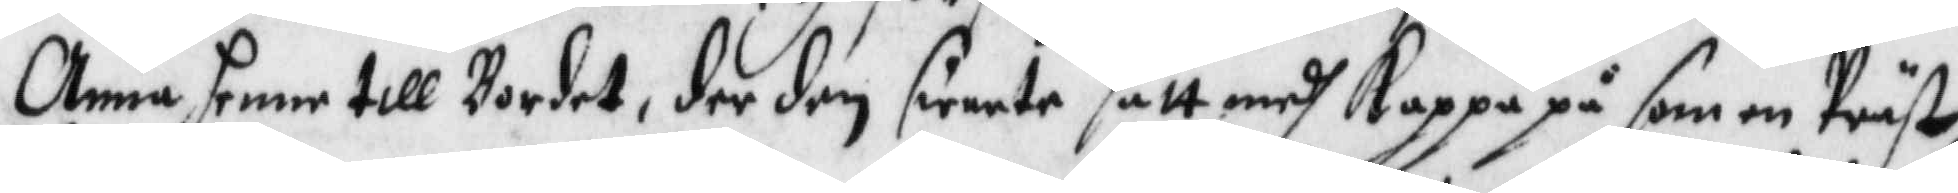Anna henne till Bordet, der den swarte satt medh Kappa på som en Präst
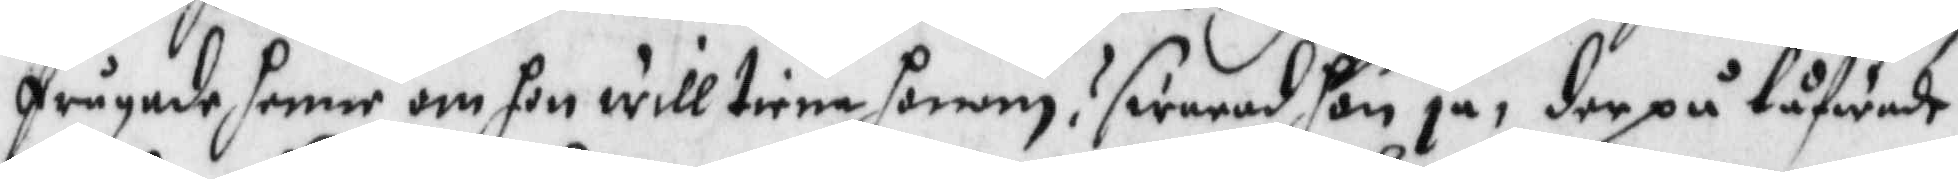frågade henne om hon will tiena honom? swarade hon ja, der på låfwade
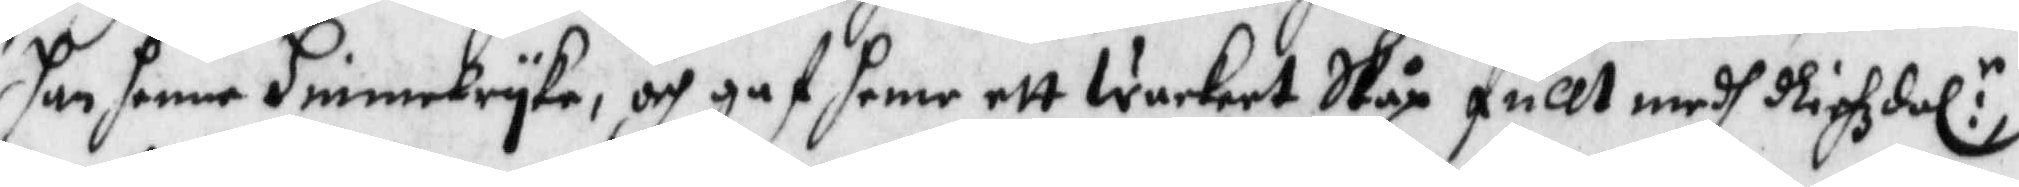han henne Himelryke, och gaf henne ett Wackert Skåp fullt medh Rixhzdal:r
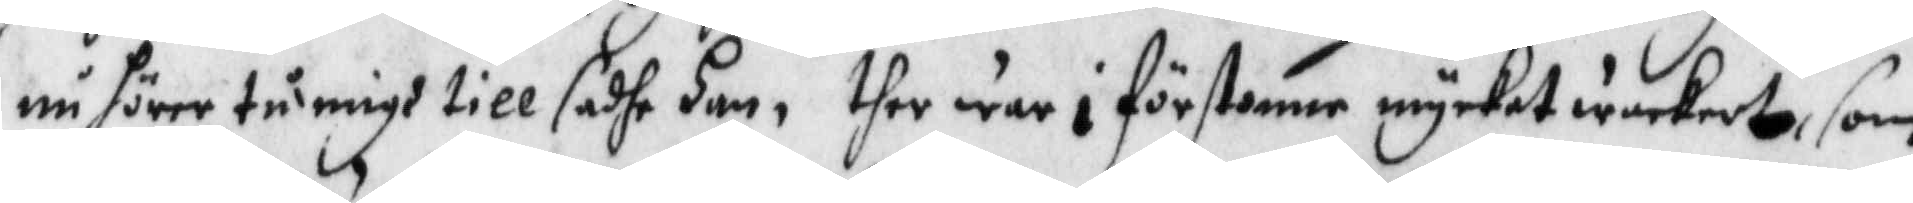nu hörer tu migh till sadhe han, ther war i förstonne mycket wackert, som
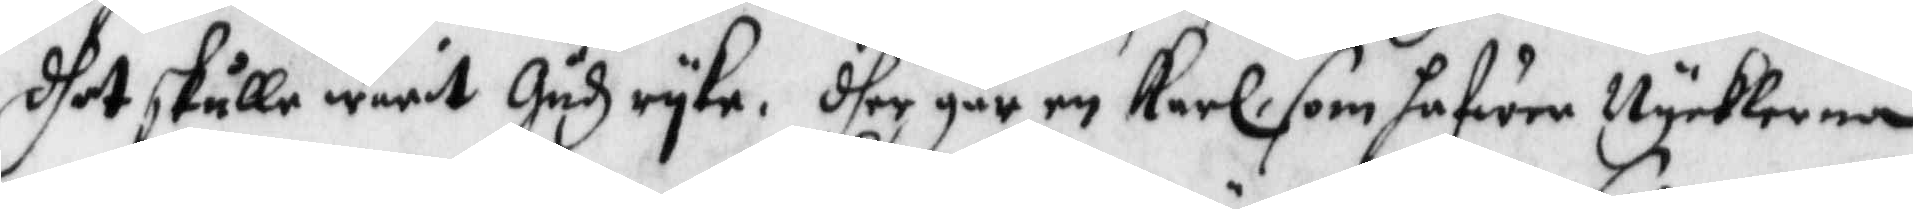dhet skulle warit Gudz ryke. dher går en Karl som hafwer Nycklerna
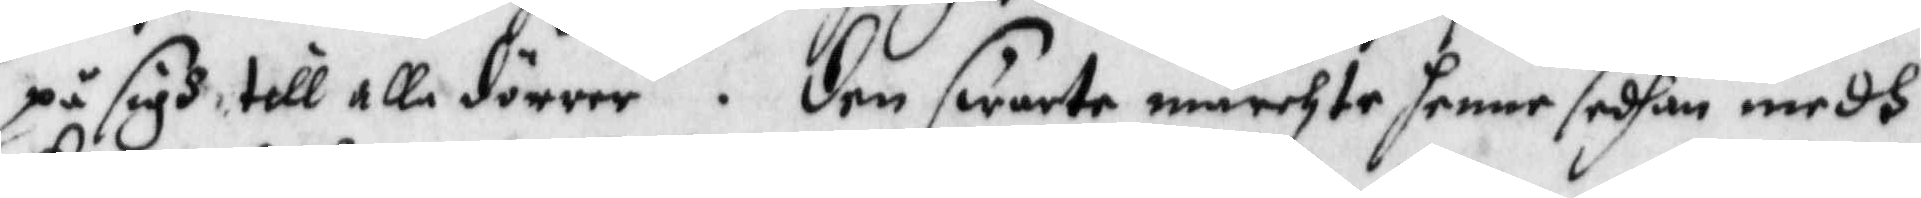på sigh till alla dörrer. den swarte märchte henne sedhan medh
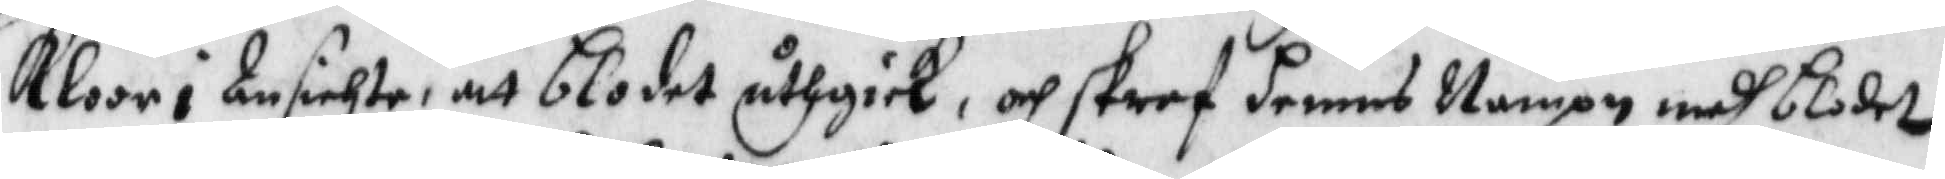Kloor i Ansichte, att blodet uthgick, och skref hennes Nampn medh blodet
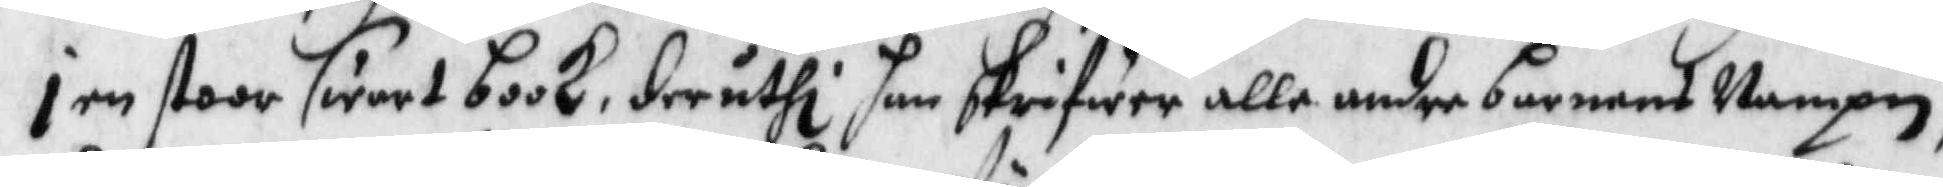i en stoor swart book, deruthi han skrifwer alle andre barnens Nampn,
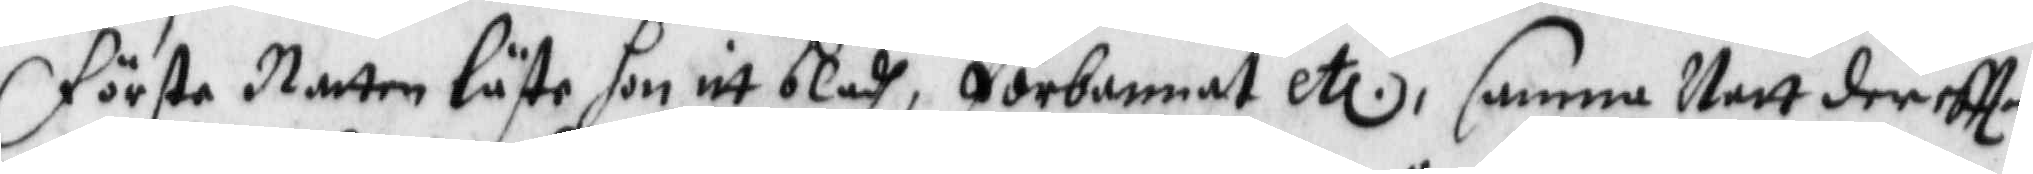första Natten lste hon itt bladh, förbannat etc, samma Natt der eftter
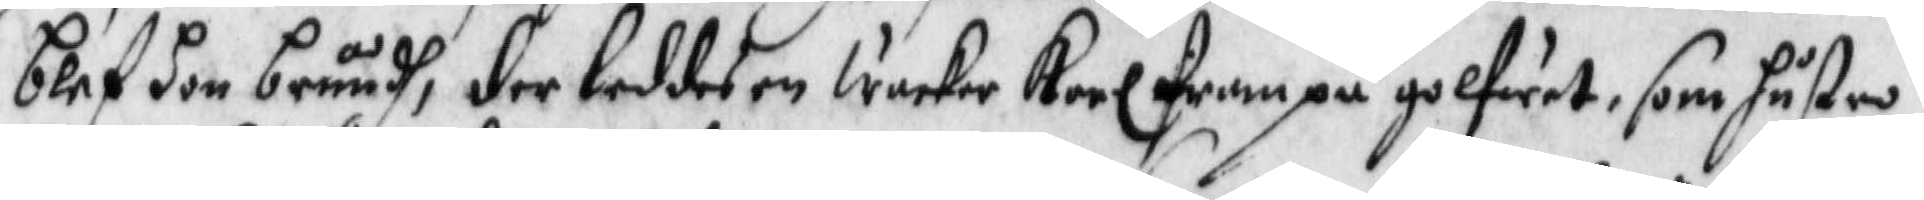blef hon bruudh, der leddes en Wacker Karl fram på golfwet, som hustru
